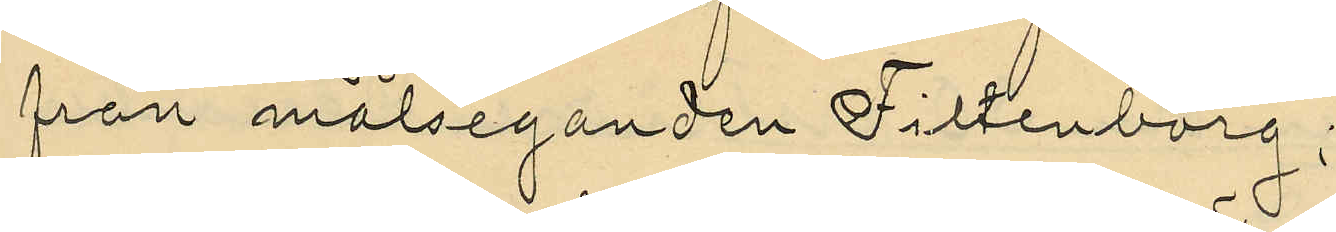från målseganden Filtenborg;
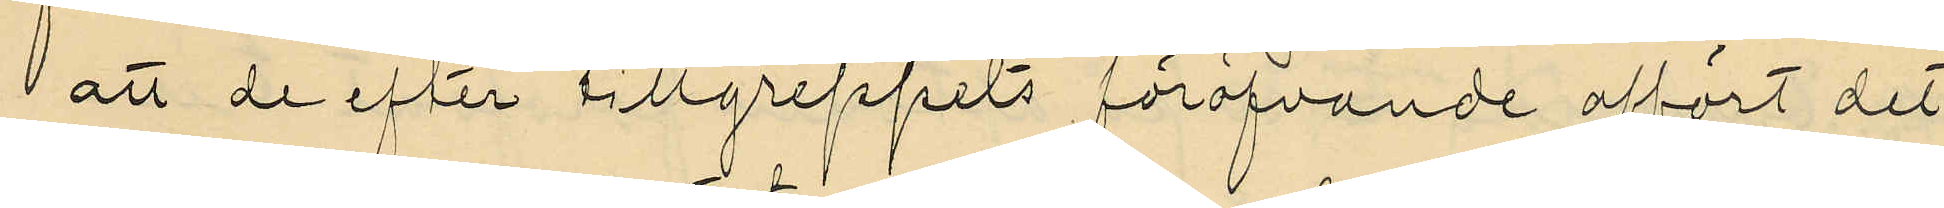att de efter tillgreppets föröfvande affört det
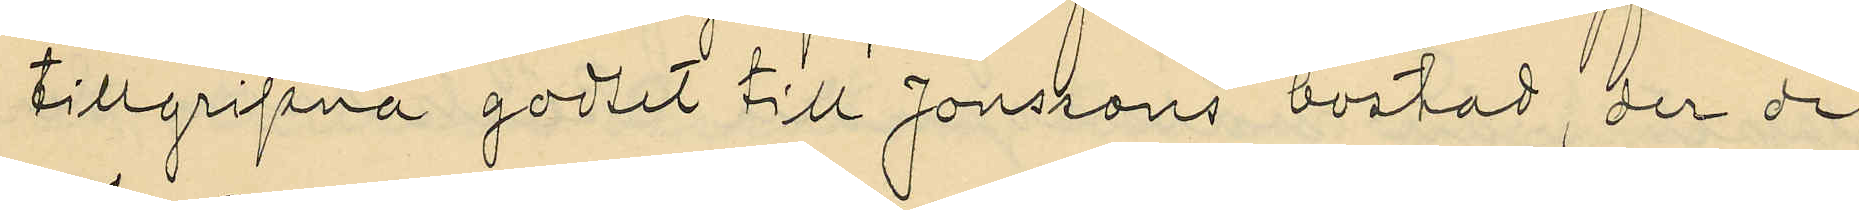tillgripna godset till Jonssons bostad, der de
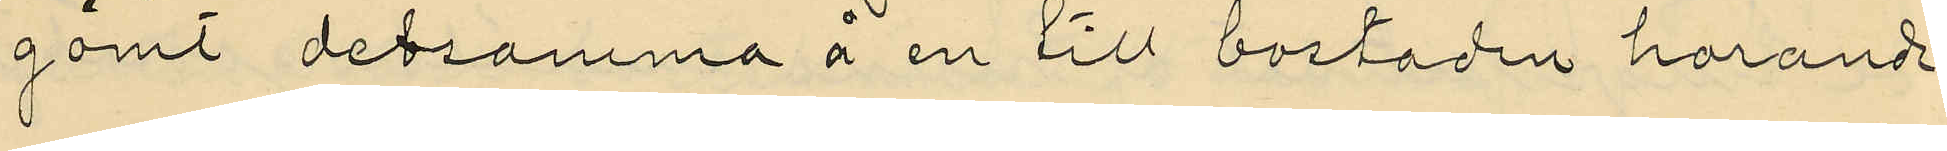gömt detsamma å en till bostaden hörande
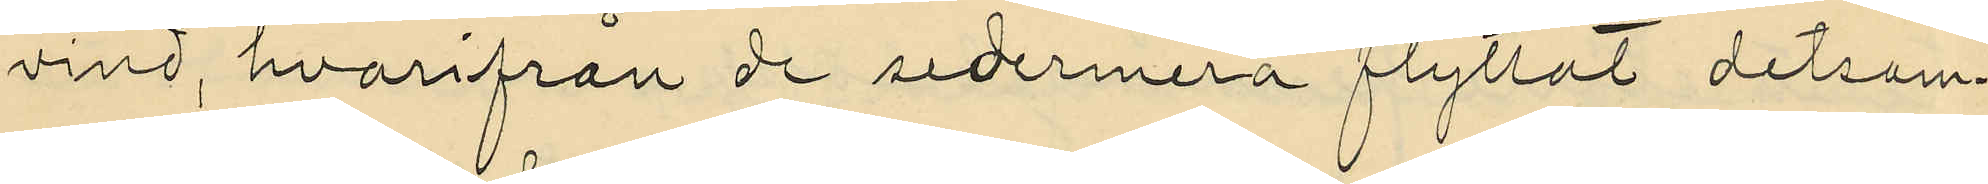vind, hvarifrån de sedermera flyttat detsam¬
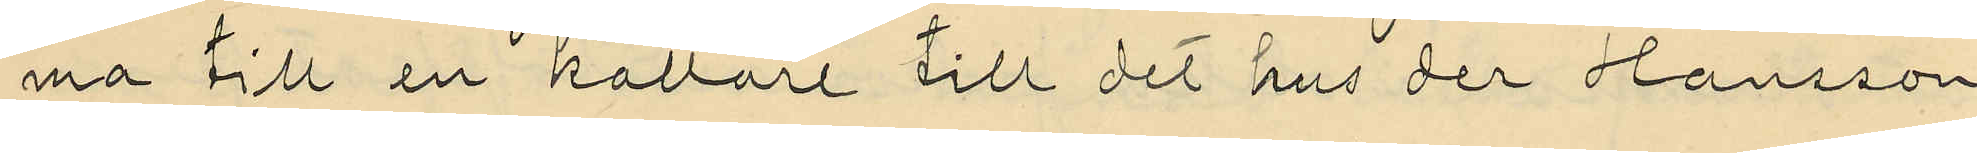ma till en kallare till det hus der Hansson
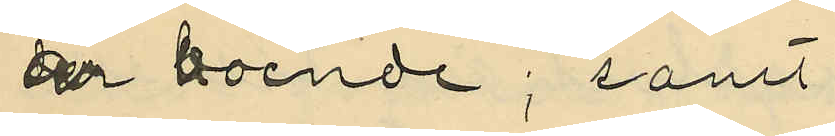är boende; samt
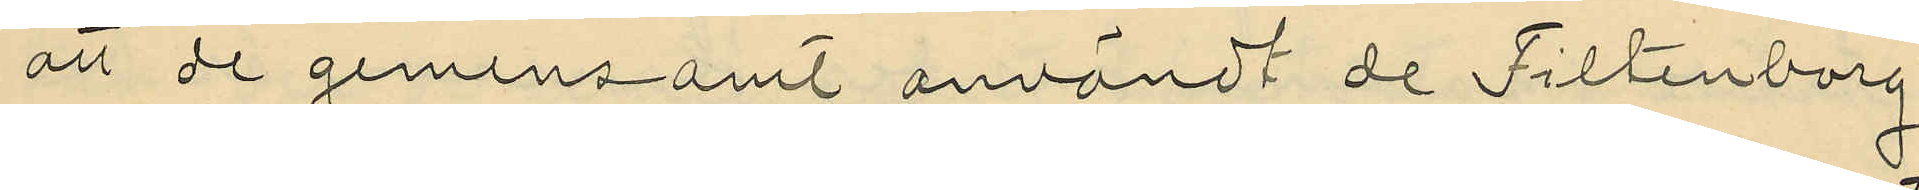att de gemensamt användt de Filtenborg
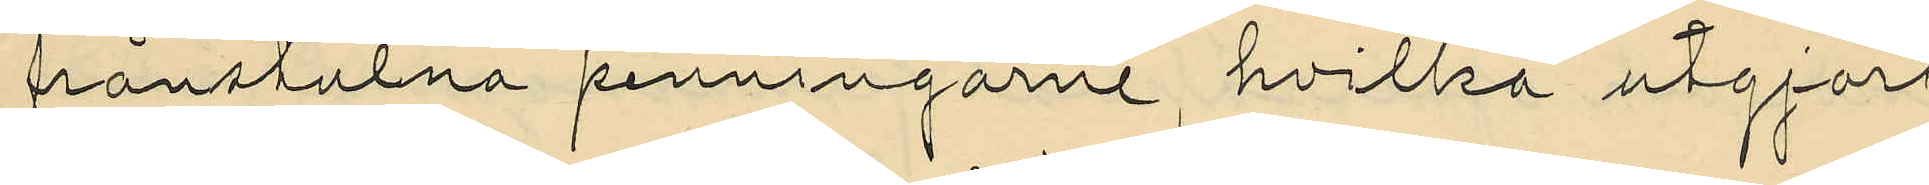frånstulna penningarne, hvilka utgjort
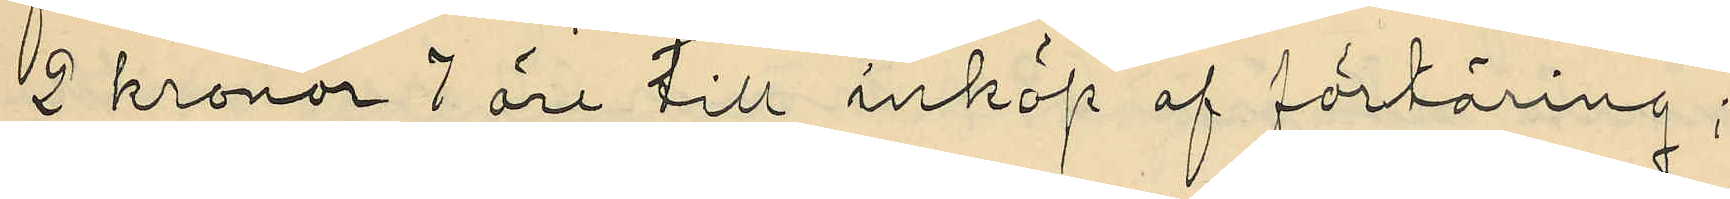2 kronor 7 öre till inköp af förtäring;
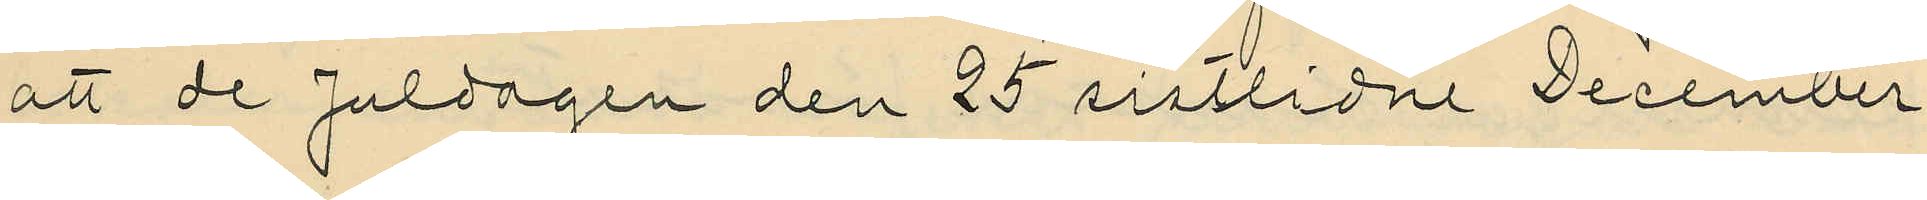att de Juldagen den 25 sistlidne December
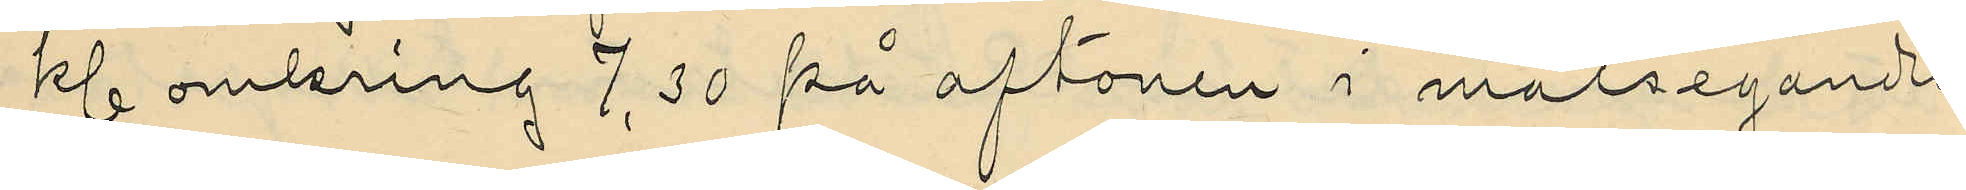kl. omkring 7,30 på aftonen i målseganden
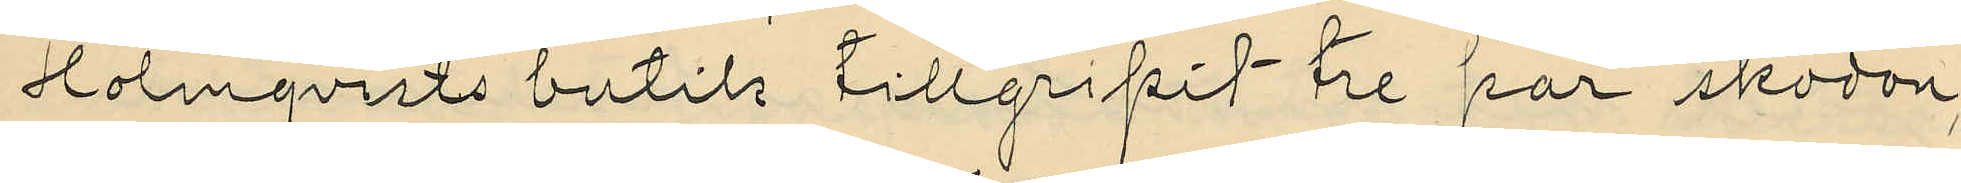Holmqvists butik tillgripit tre par skodon,
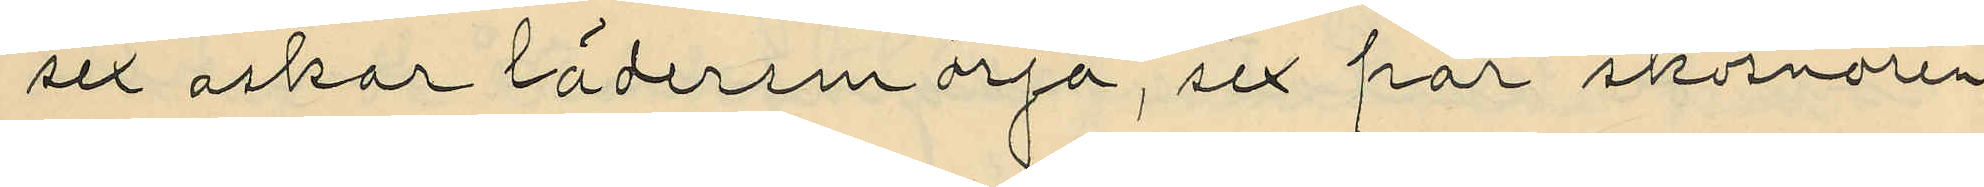sex askar lädersmörja, sex par skosnören
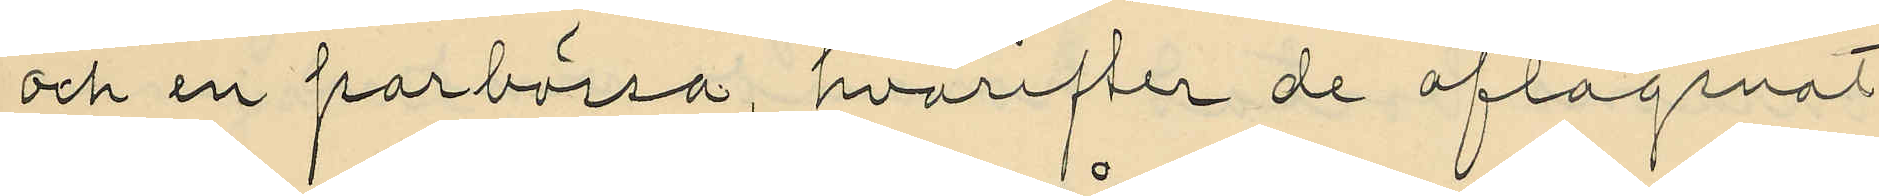och en sparbössa, hvarefter de aflägsnat
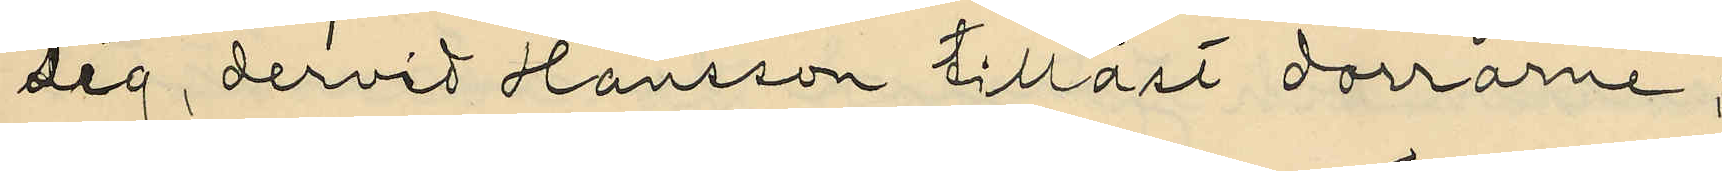sig, dervid Hansson tillåst dorrarne;
